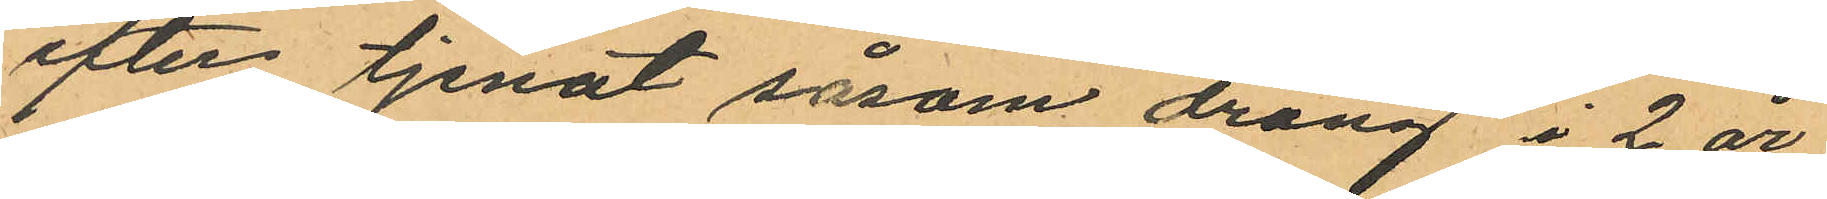efter tjenat såsom dräng i 2 år
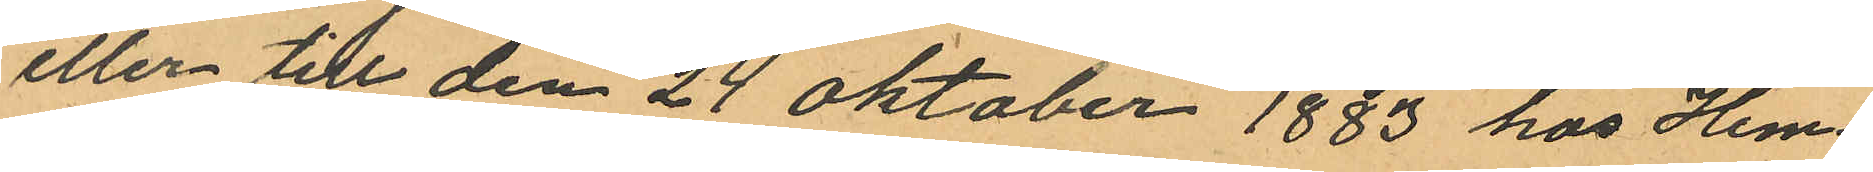eller till den 24 Oktober 1883 hos Hem¬
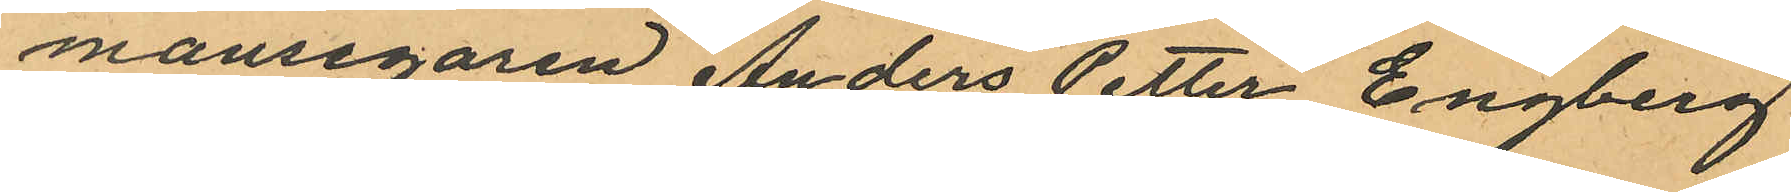mansegaren Anders Petter Engberg
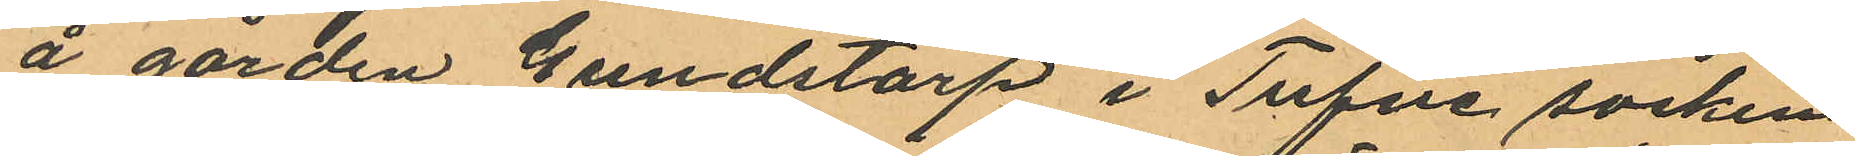å gården Gundstorp i Tufve socken
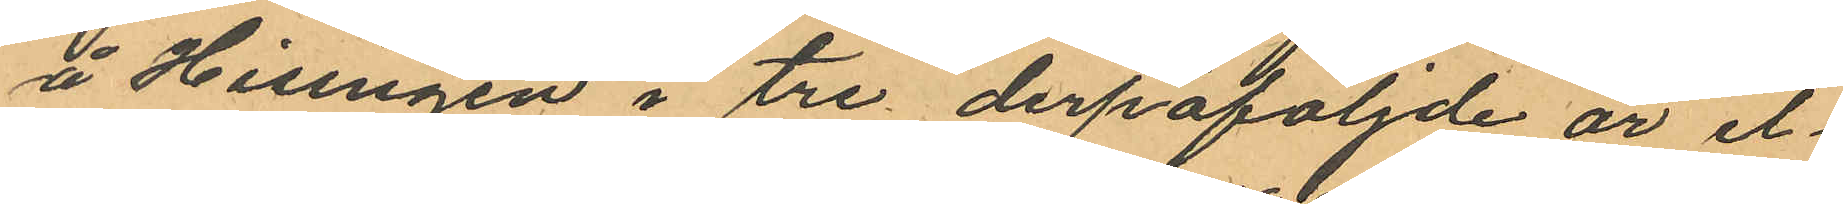å Hisingen i tre derpåföljnde år el¬
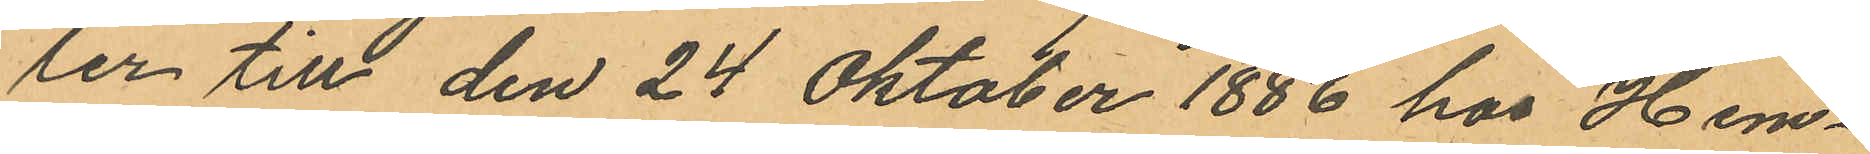ler till den 24 Oktober 1886 hos Hem¬
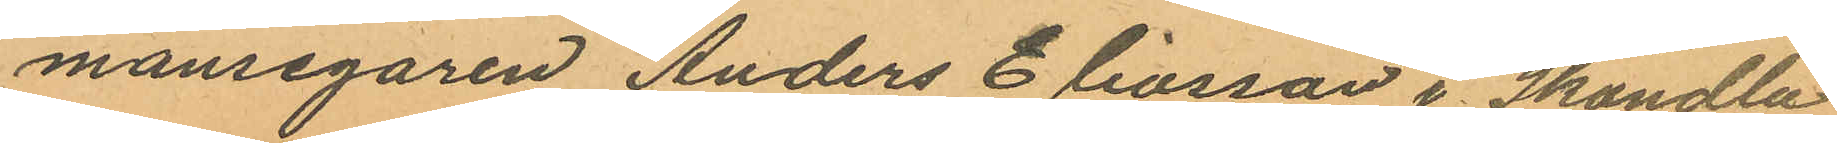mansegaren Anders Eliasson i Skändla
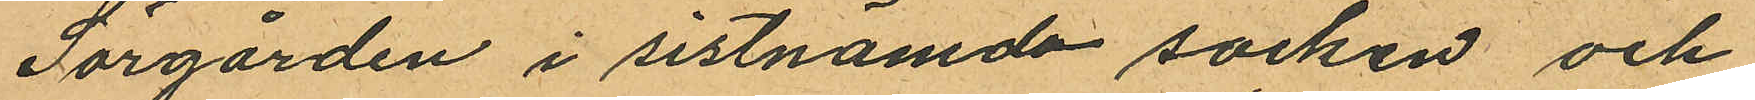Sörgården i sistnämda socken och
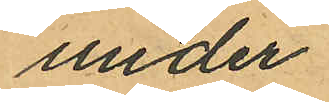under
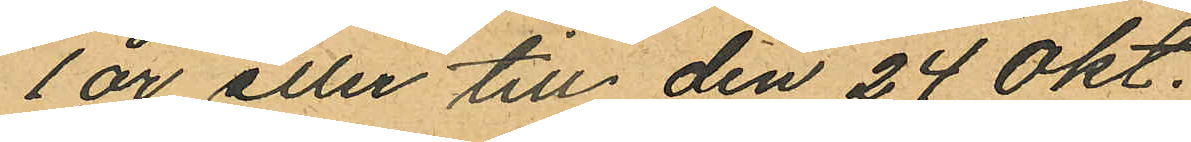1 år eller till den 24 Okt.
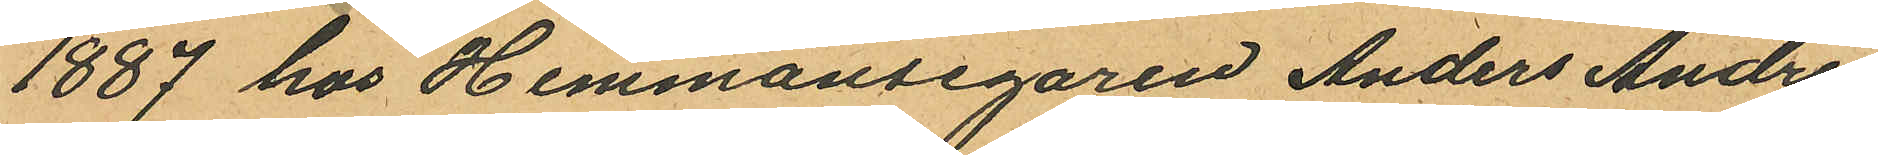1887 hos Hemmansegaren Anders Andre¬
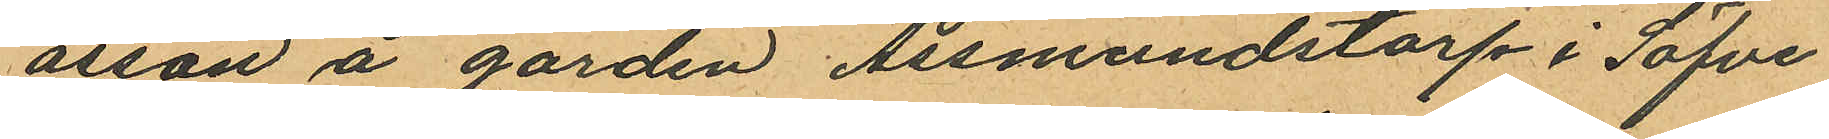asson å gården Assmundstorp i Säfve
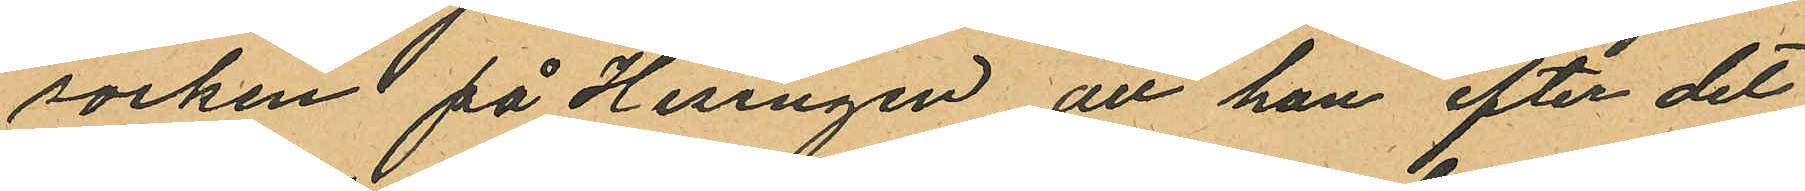socken på Hisingen, att han efter det
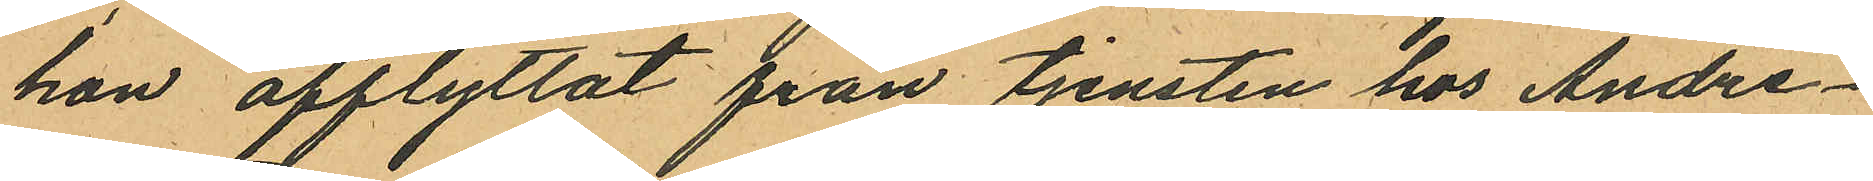hon afflyttat från tjensten hos Andre¬
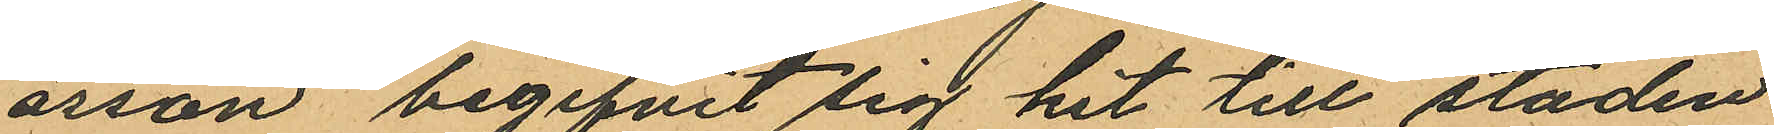asson begifvit sig hit till staden
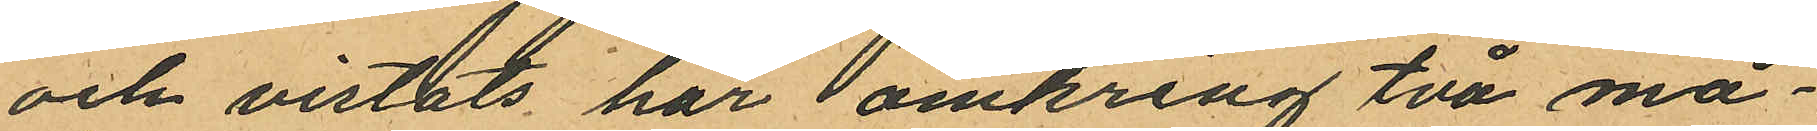och vistats här omkring två må¬
